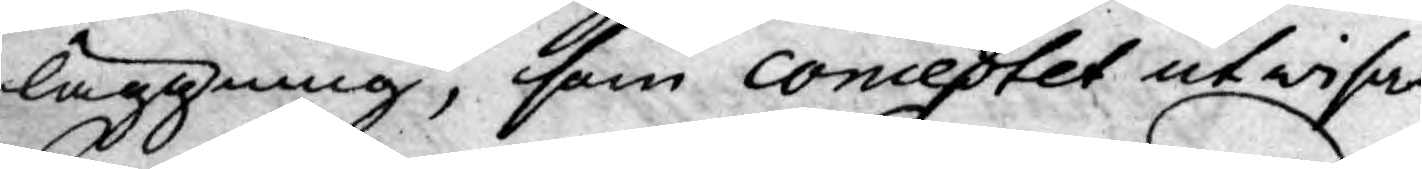läggning, som concestet utwisar,
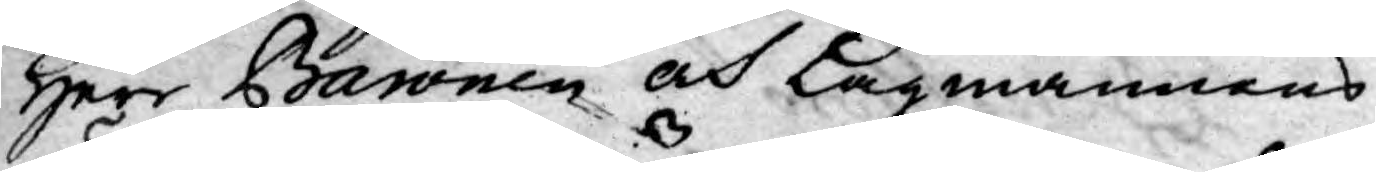Herr Baronen och Lagmannens
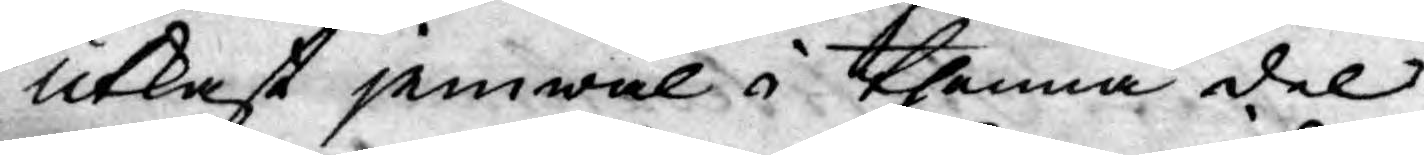utkast jemwäl i thenna del
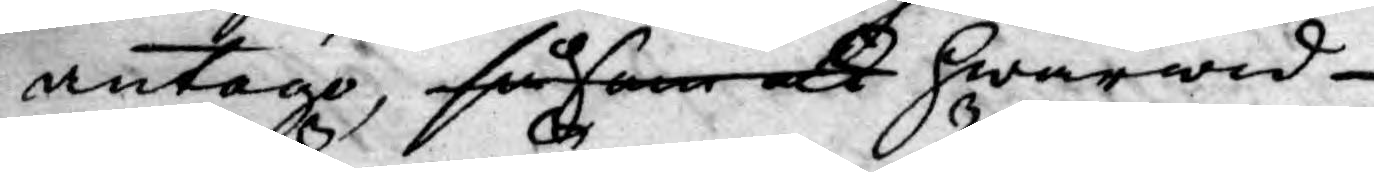antogo, såsom at hwarwid
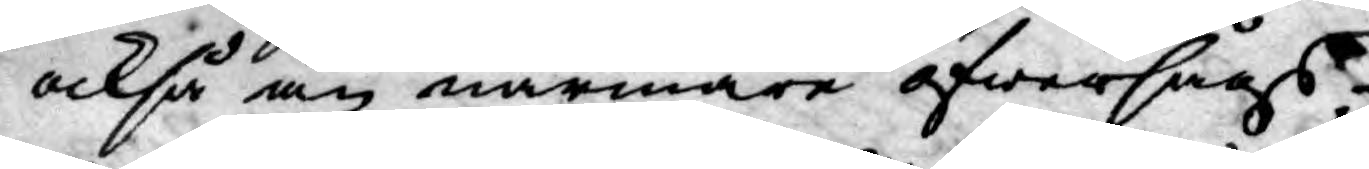också än närmare öfwersågs
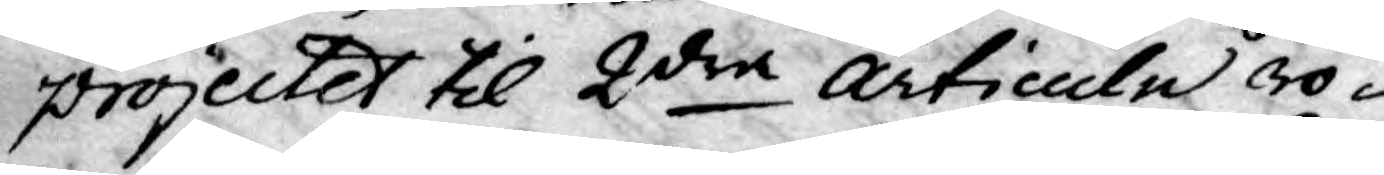projectet til 2dra Articulu rö¬
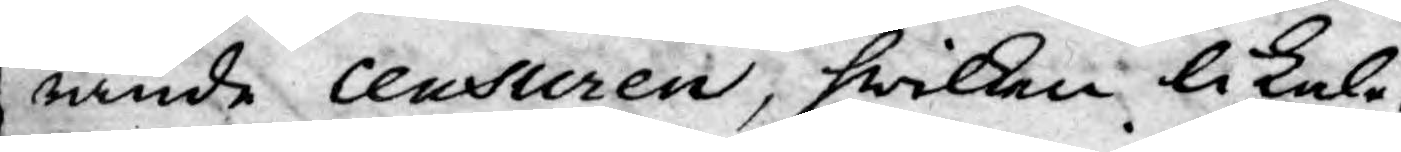rande censuren, hwilken likale¬
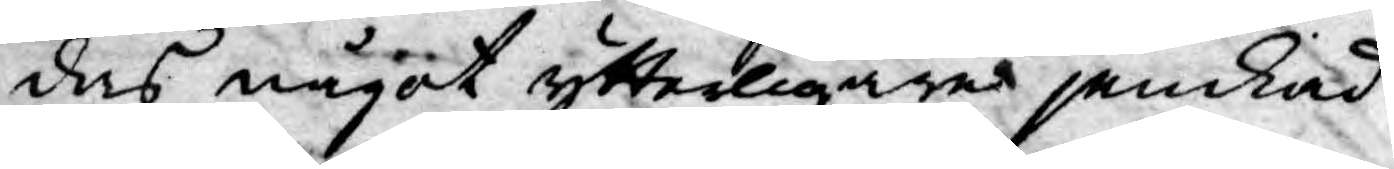des något ytterligare jemkad
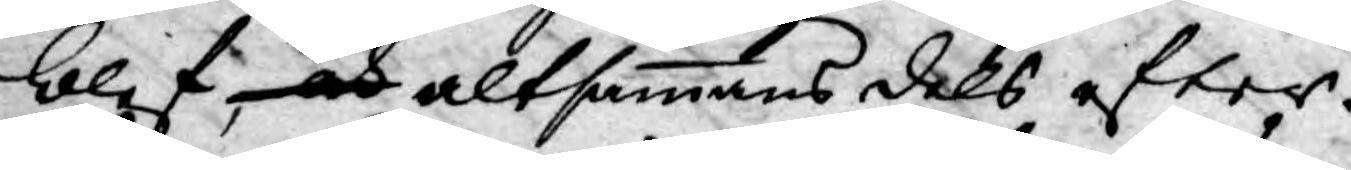blef, och altsammans dels efter
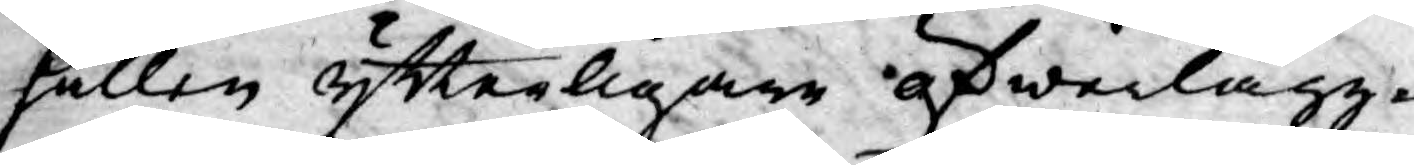hållen ytterligare öfwerlägg¬
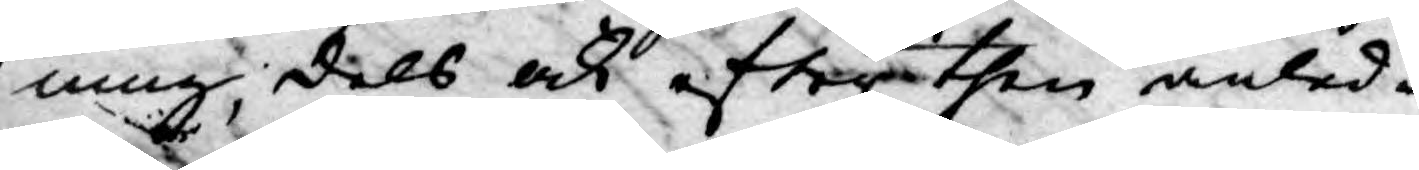ning, dels ock efter then anled¬
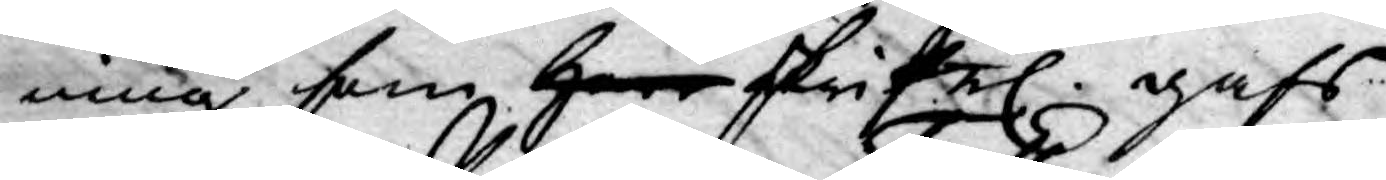ning som Herr skrifel. gafs
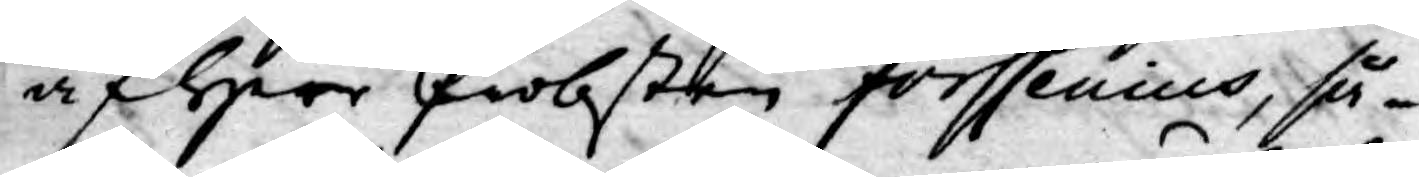af Herr Probsten Forssenius, så¬
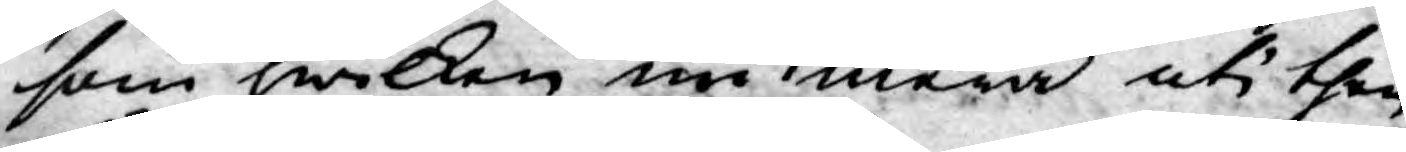som hwilken nu mera uti then
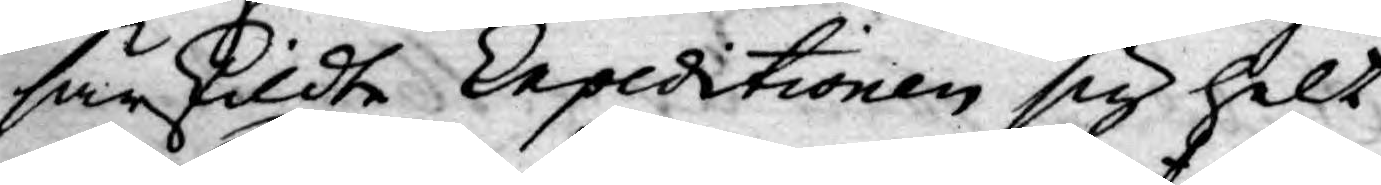särskildte Expeditionen sig helt
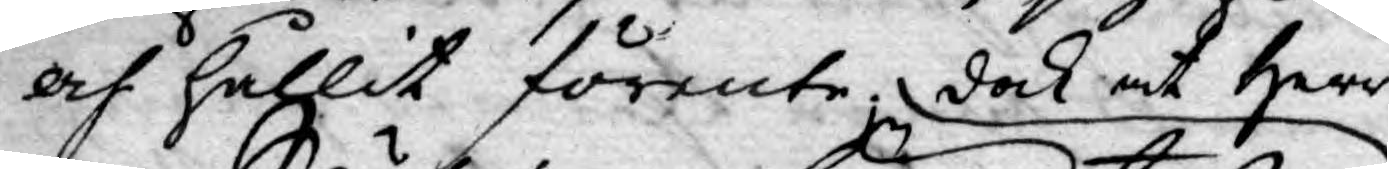och hållit förente; dock at Herr
